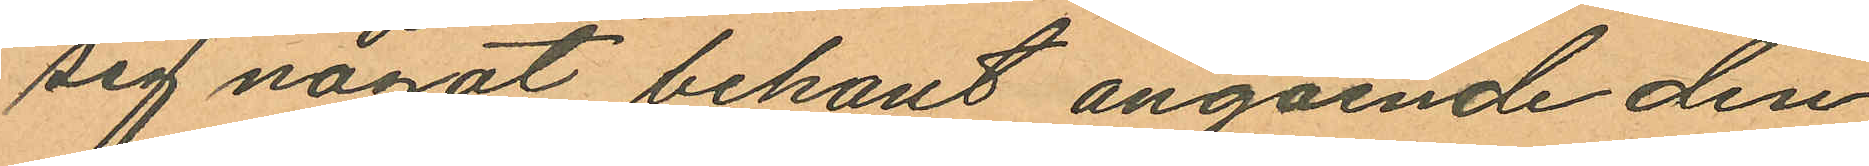sig nägot bekant angående den
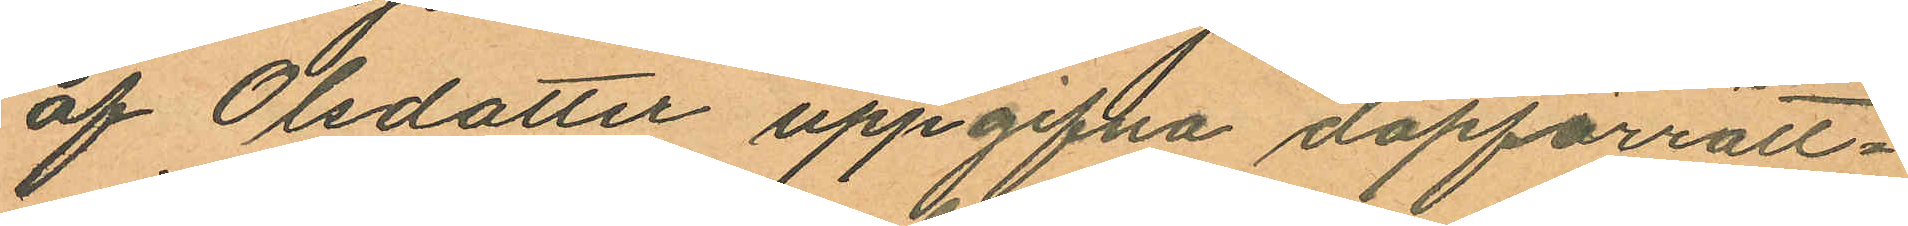af Olsdotter uppgifna dopförrätt¬
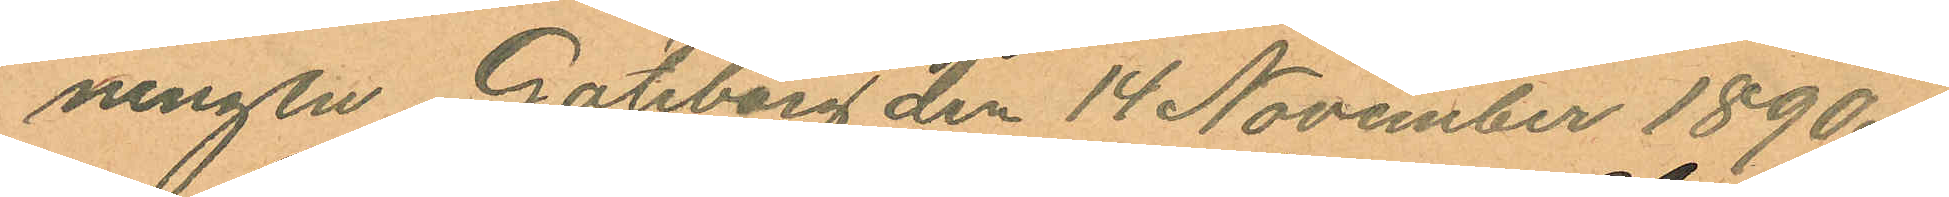ningen Göteborg den 14 November 1890.
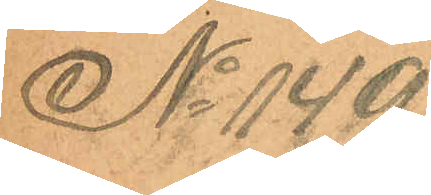No 149.
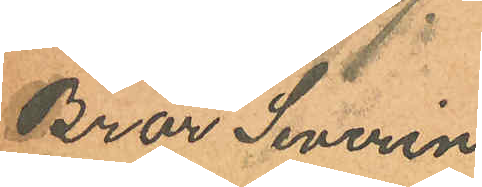Bror Severin
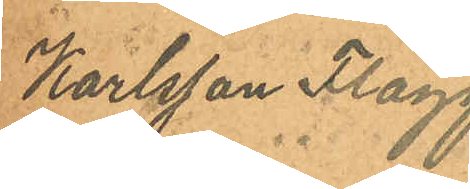Karlsson Flagg.
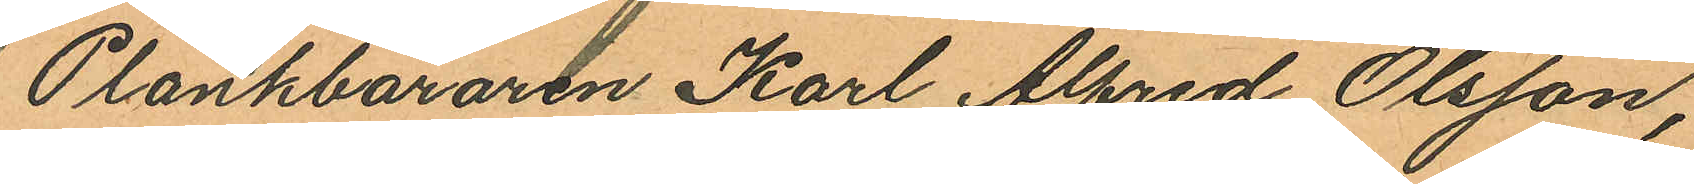Plankbäraren Karl Alfred Olsson,
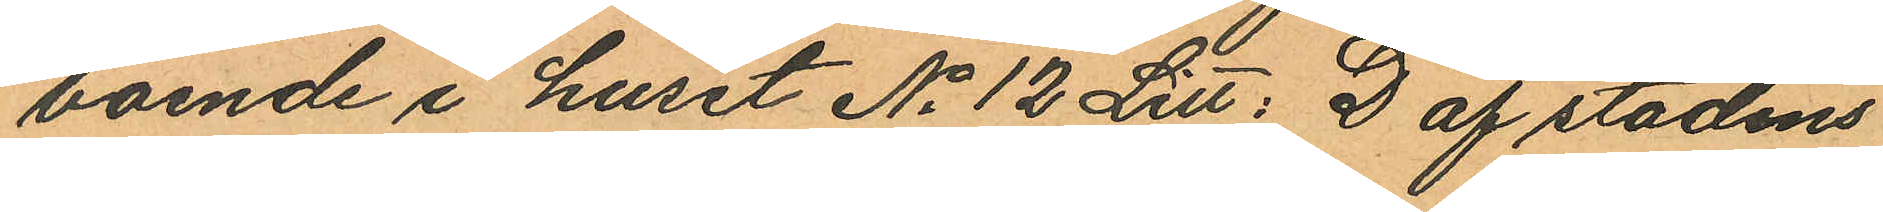boende i huset No 12 Litt: D af stadens
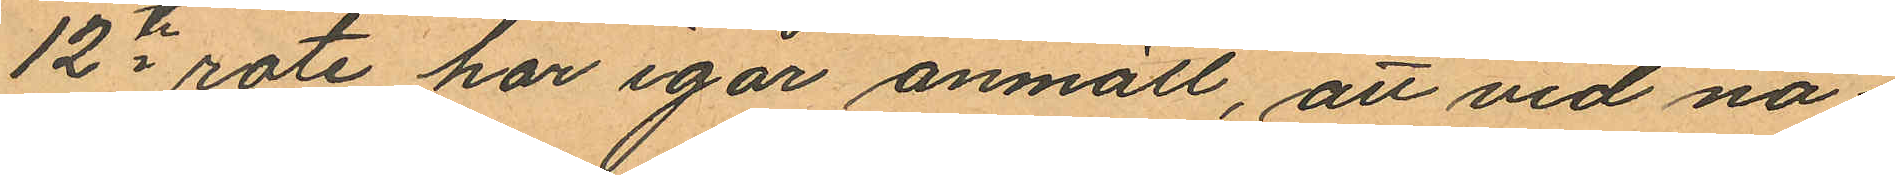12te rote har igår anmält, att vid nå¬
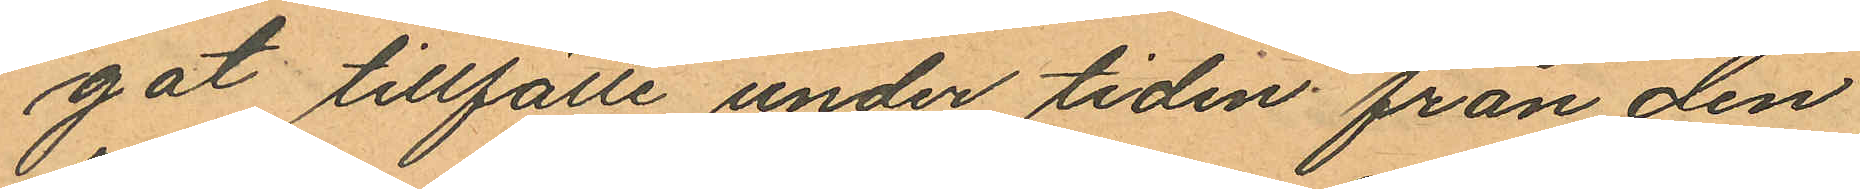got tillfälle under tiden från den
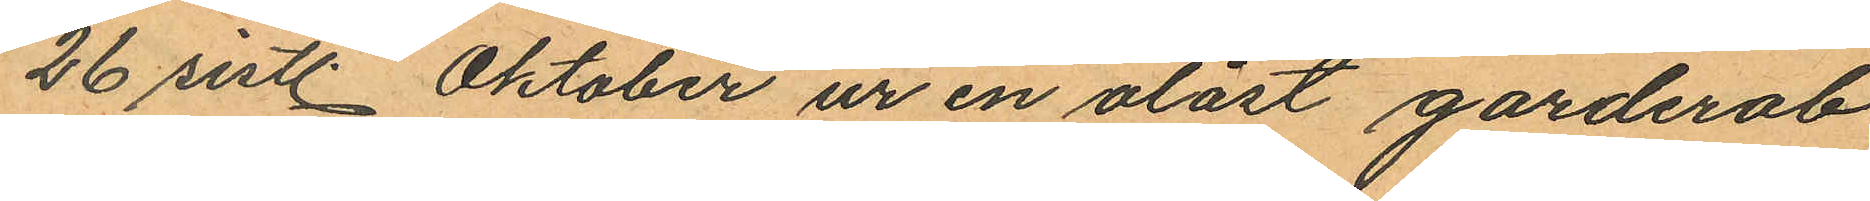26 sistl. Oktober ur en olåst garderob
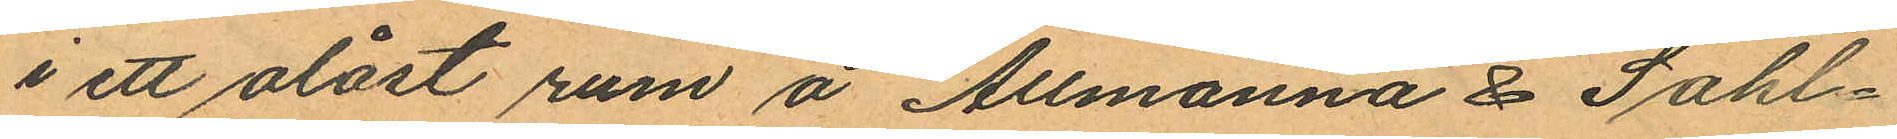i ett olåst rum å Allmänna & Sahl¬
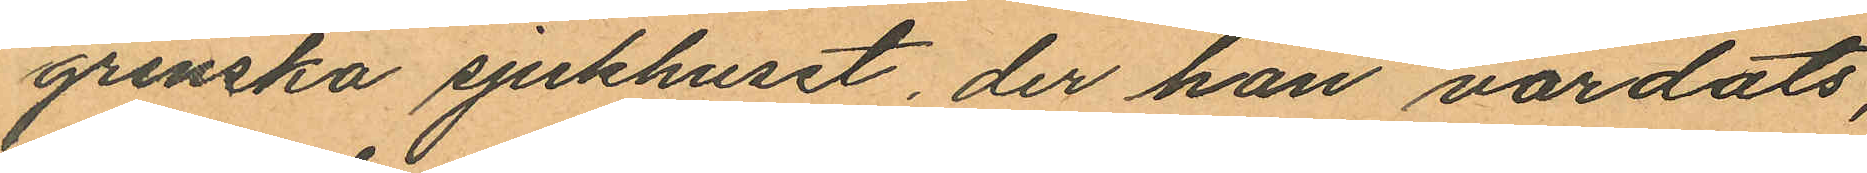grenska sjukhuset, der han vårdats,
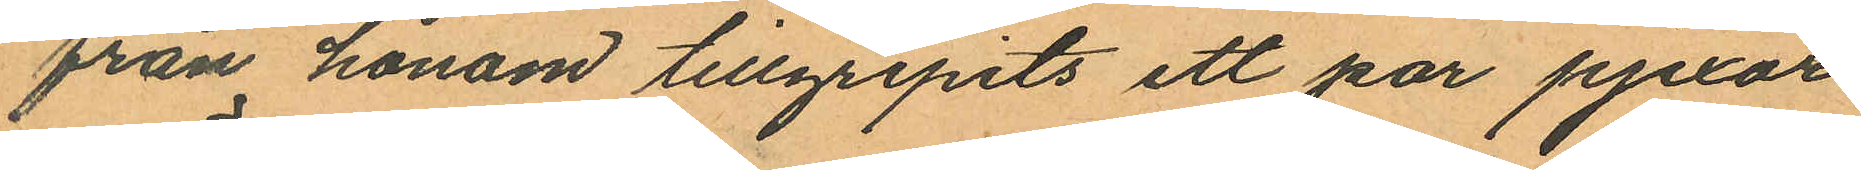från honom tillgripits ett par pjexor
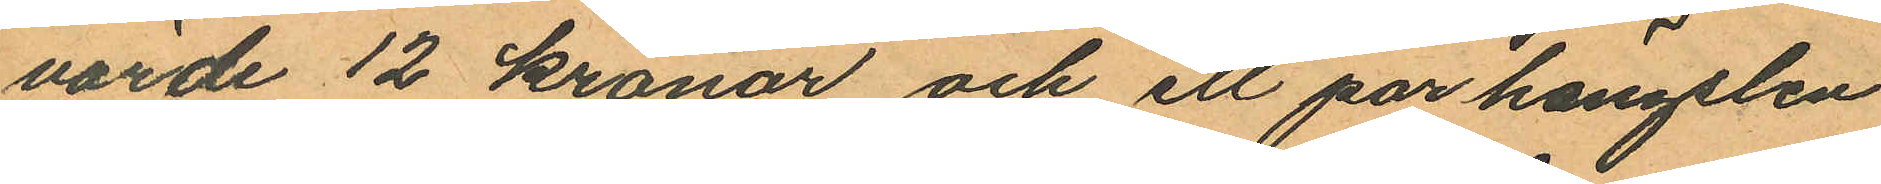värde 12 kronor och ett par hängslen
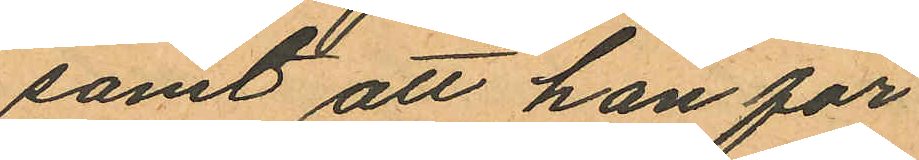samt att han för
